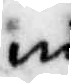nu
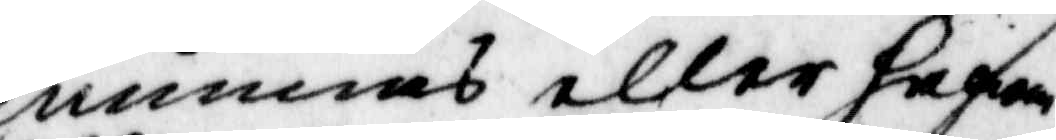minnas eller hafwa
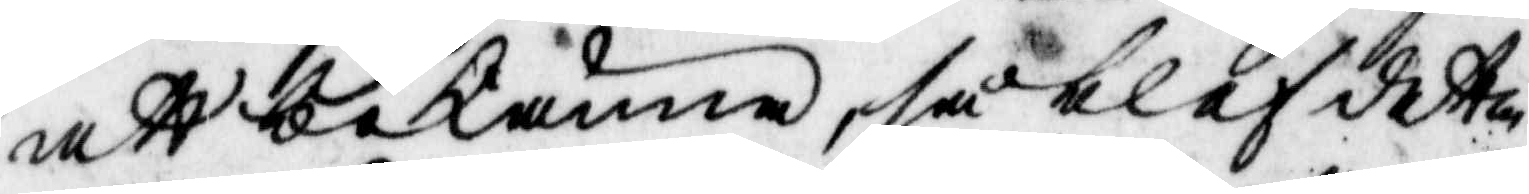att bekänna, så blef detta
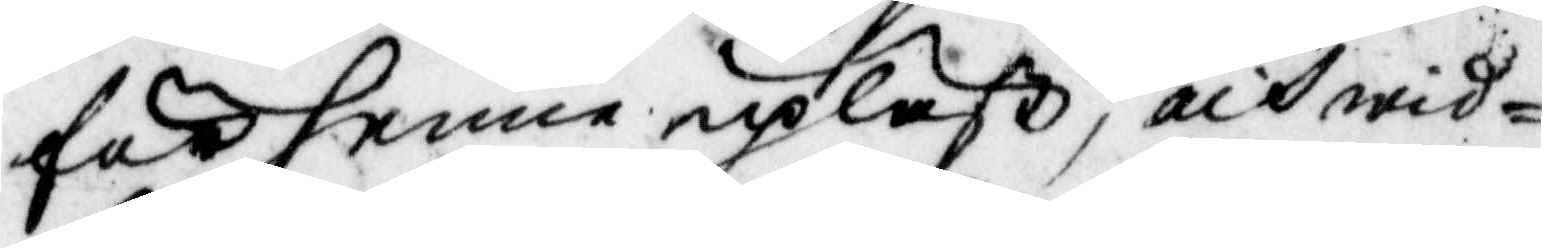för henne uplyst, och wid¬
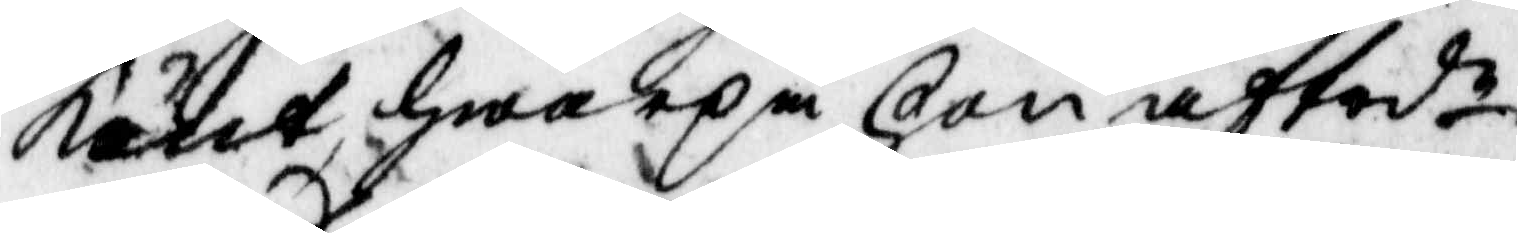känt, hwarpå hon aftrde
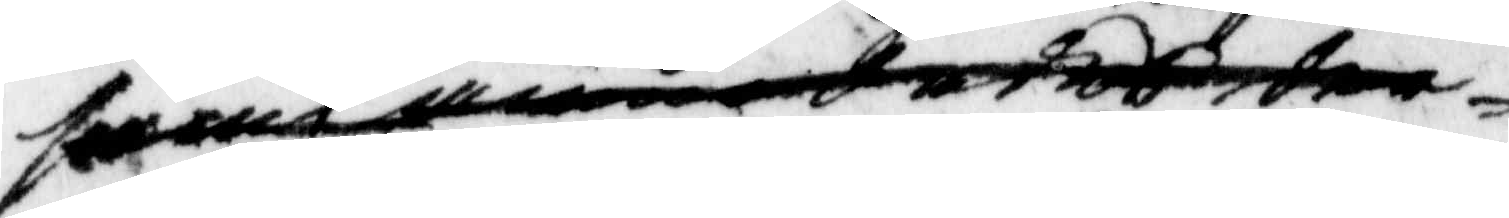samm med att der¬
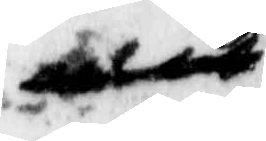med
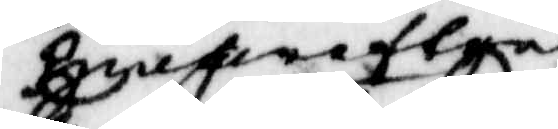hynswefter
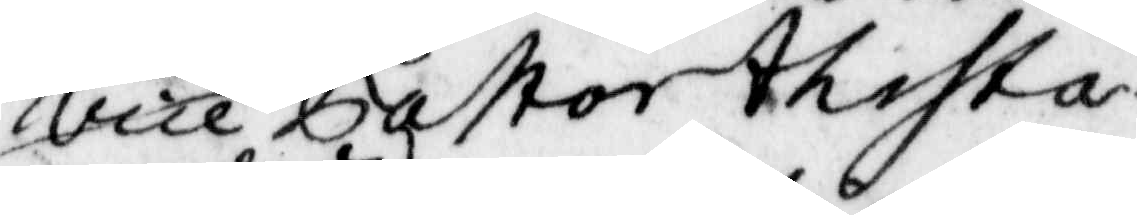vill pastor thesta
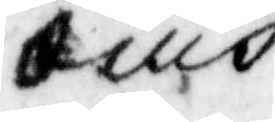sins
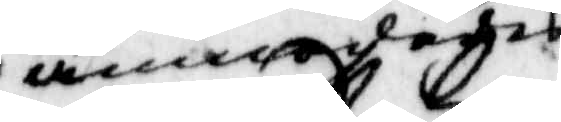annandagen
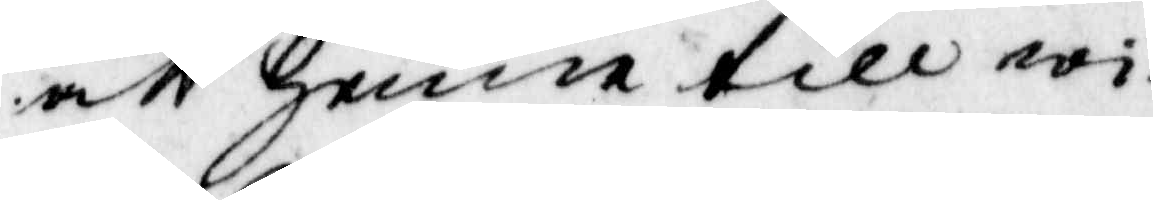att henne till wi¬
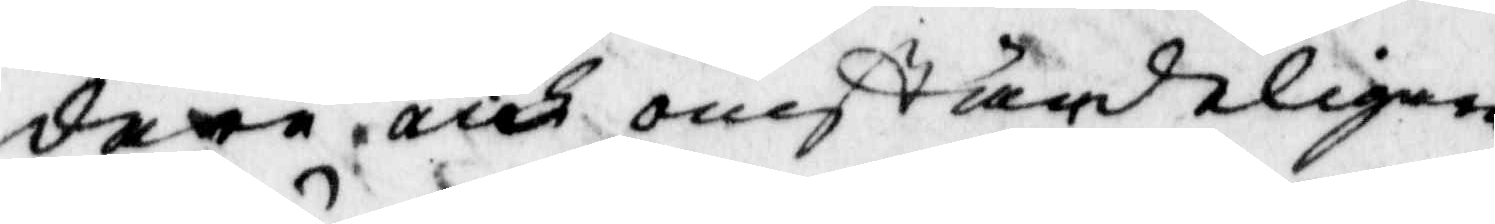dare och omständeligen
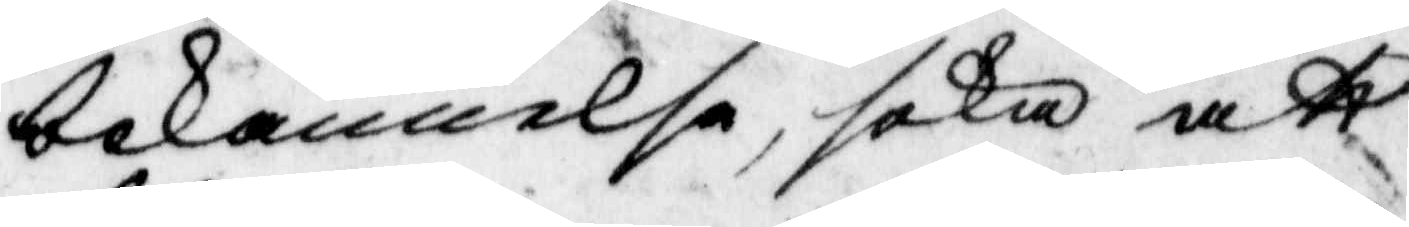bekännelse, söka att
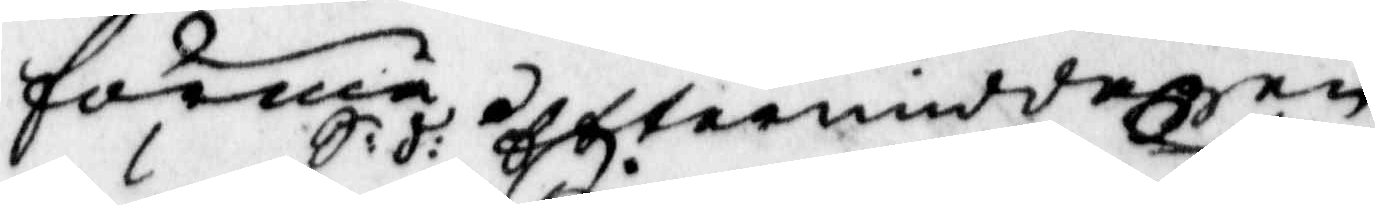förmå S:d: Eftermiddagen
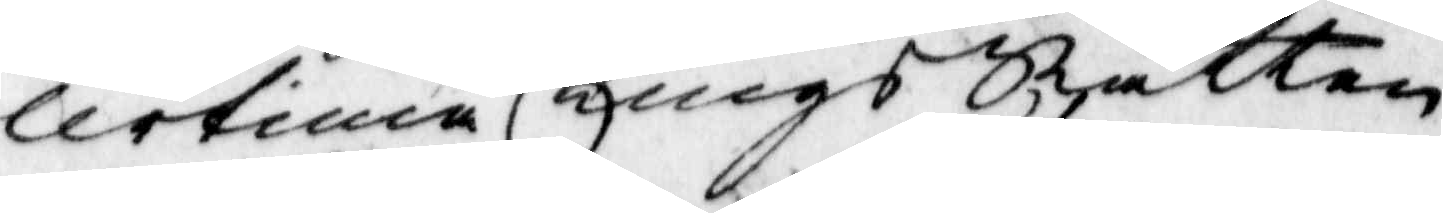urtima TingsRätten
